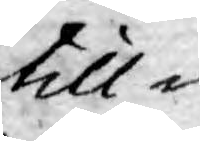till¬
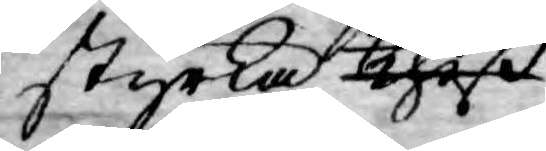styrka theß
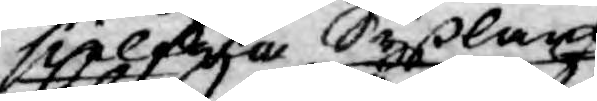 sielfwa Syßlans
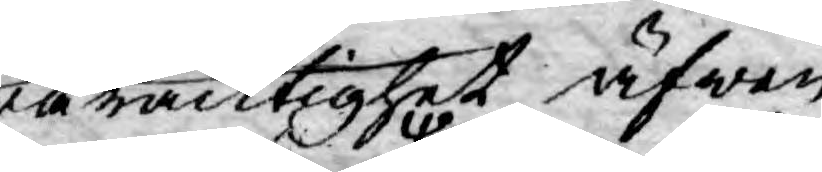waracktighet äfwen
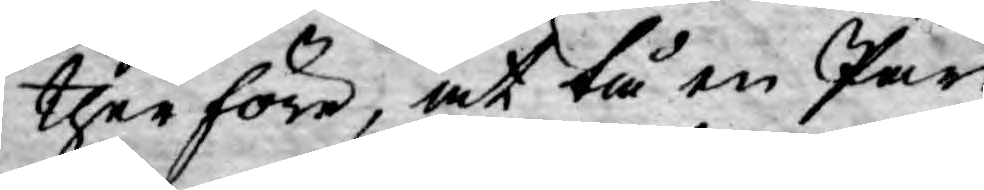therföre, at tå en Part
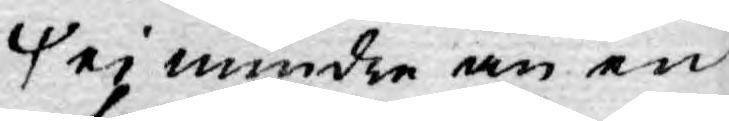ej mindre än en
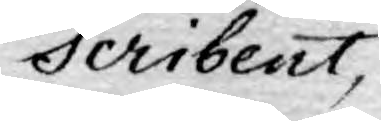Scribent,
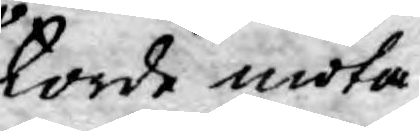torde möta
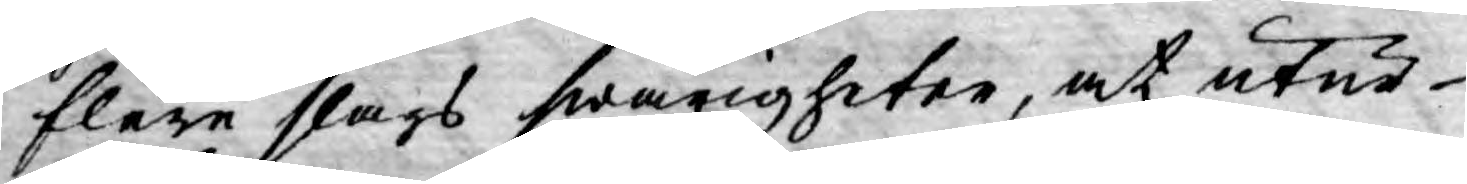flere slags swårigheter, at utur
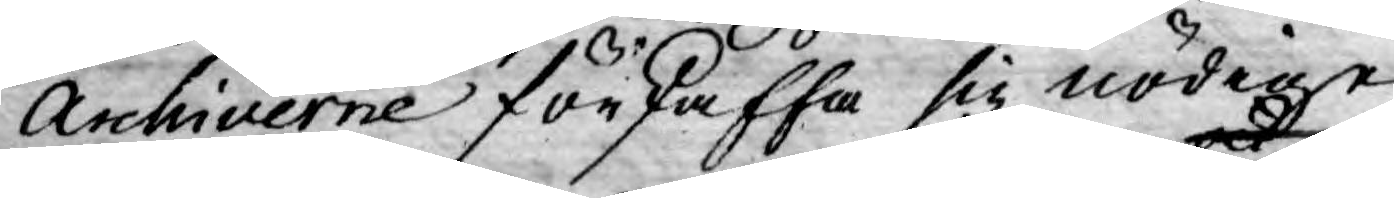Archiverne förskaffa sig nödige
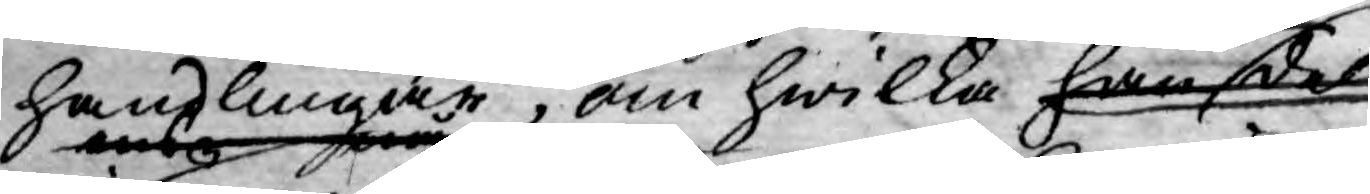handlingar, om hwilka han ock dels,
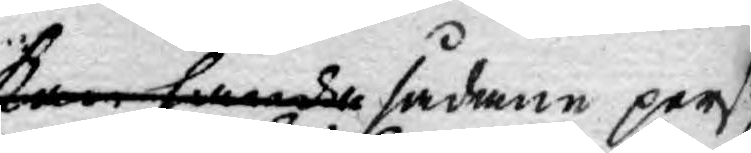kan hända sådane perso¬
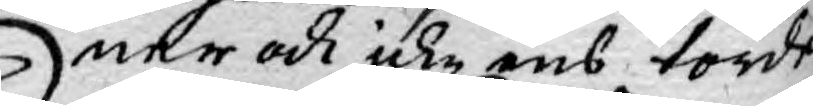ner och icke ens torde
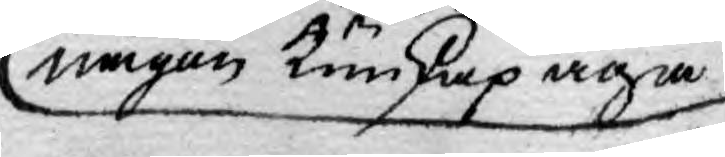någon kunskap äga
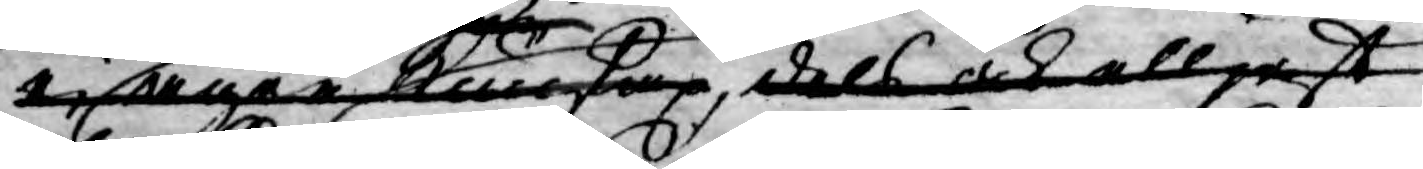ej äger kunskap dels och elljest
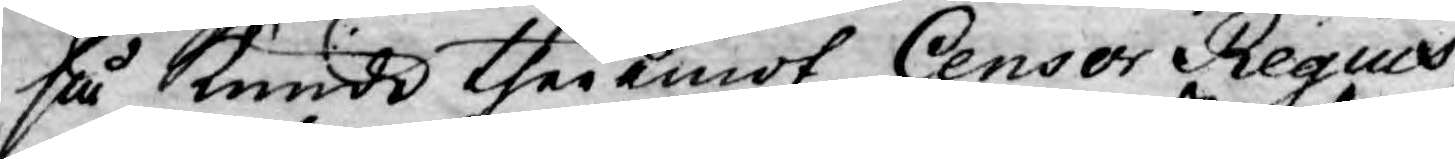så kunde theremot Censor Regius,
